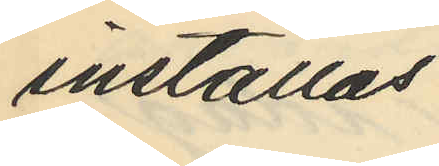inställas.
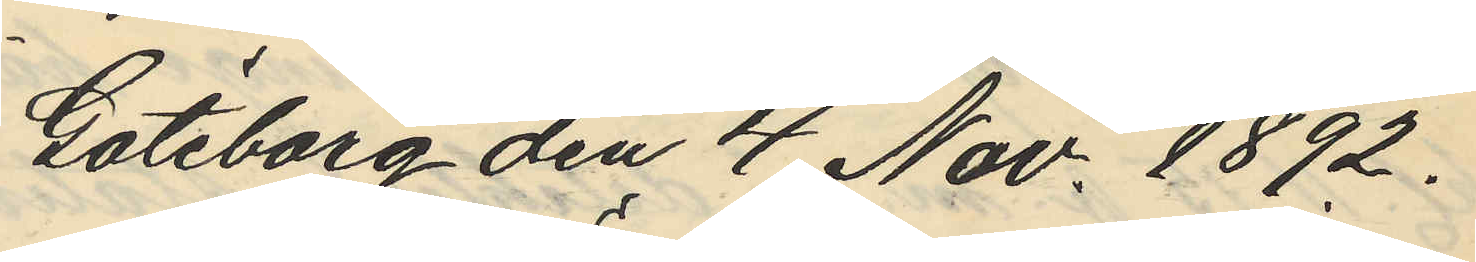Göteborg den 4 Nov. 1892.
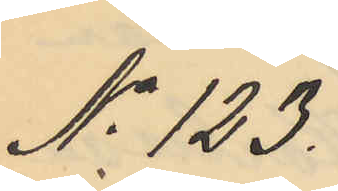No 123.
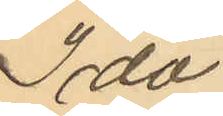Ida
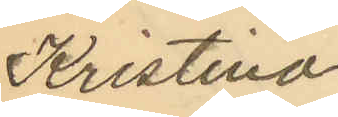Kristina
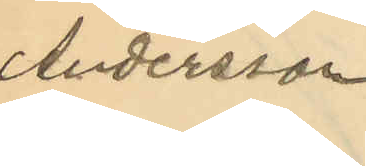Andersson
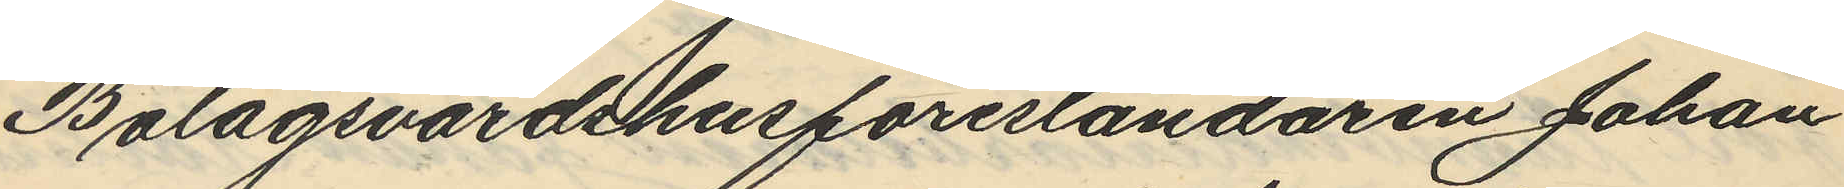Bolagsvärdshusföreståndaren Johan
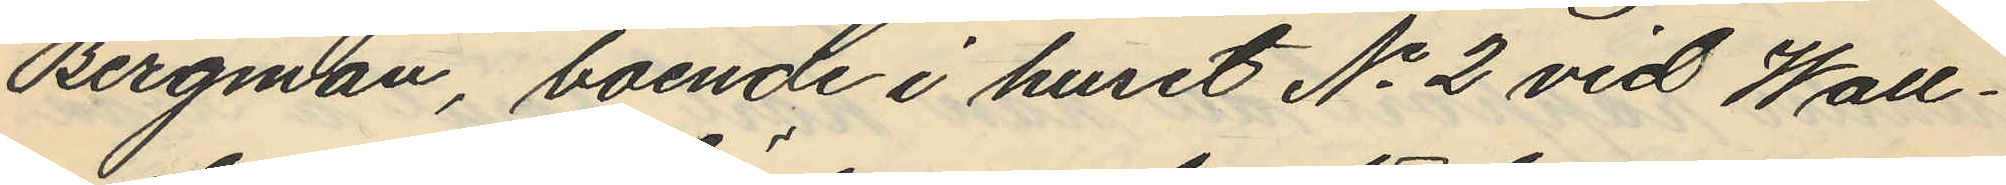Bergman, boende i huset No 2 vid Wall¬
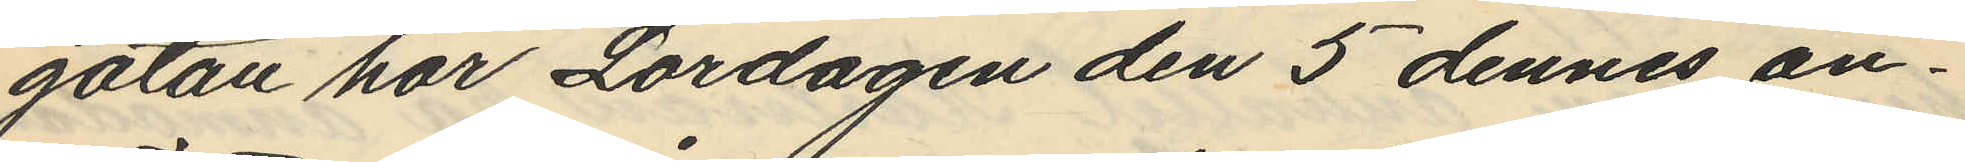gatan har Lördagen den 5 dennes an¬
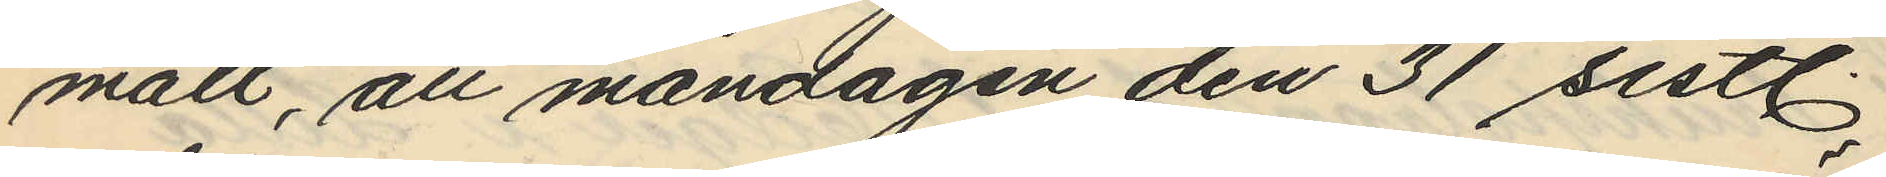mält, att måndagen den 31 sistl.
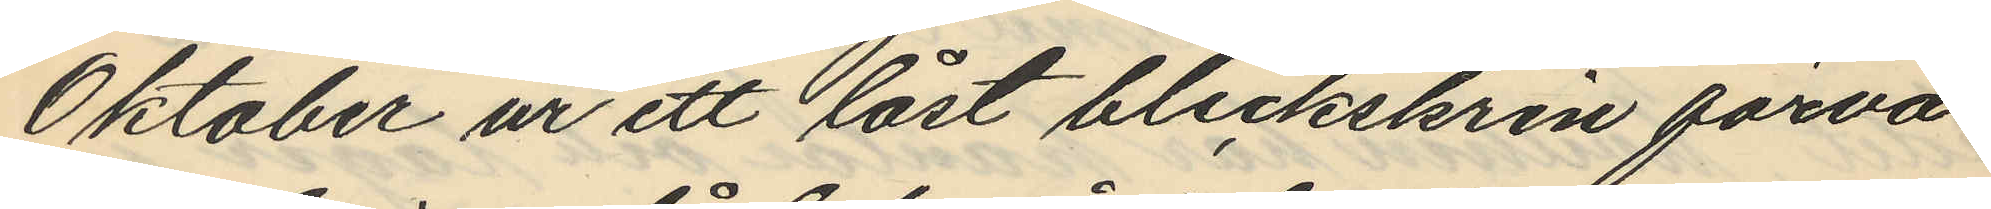Oktober ur ett låst bleckskrin förva¬
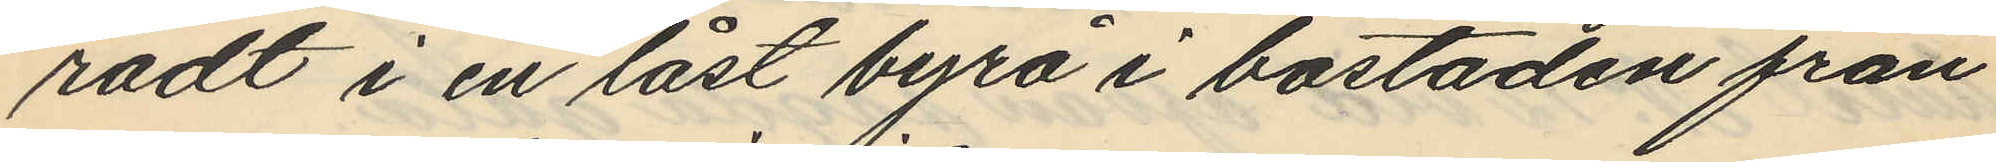radt i en låst byrå i bostaden från
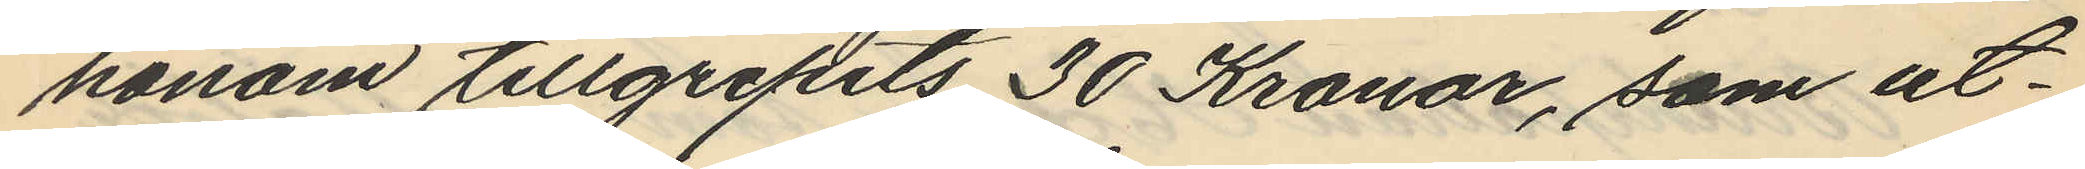honom tillgripits 30 Kronor, som ut¬
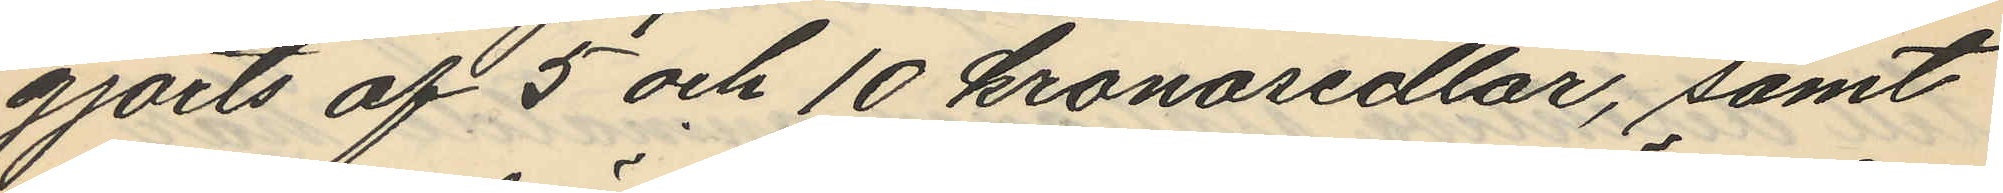gjorts af 5 och 10 kronosedlar, samt
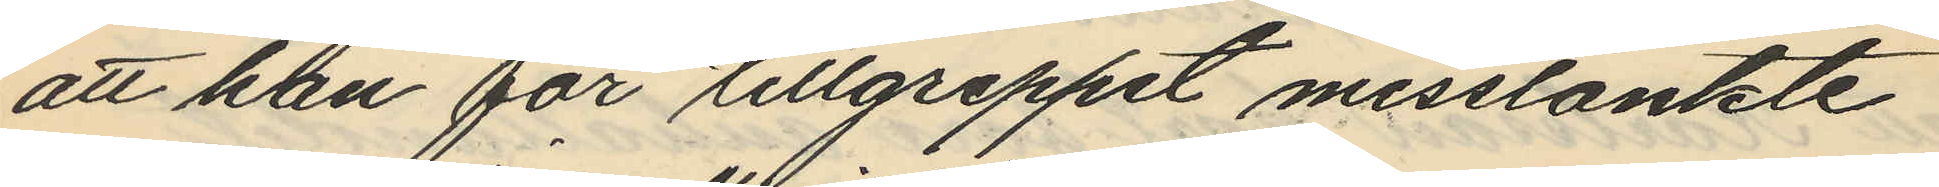att han för tillgreppet misstänkte
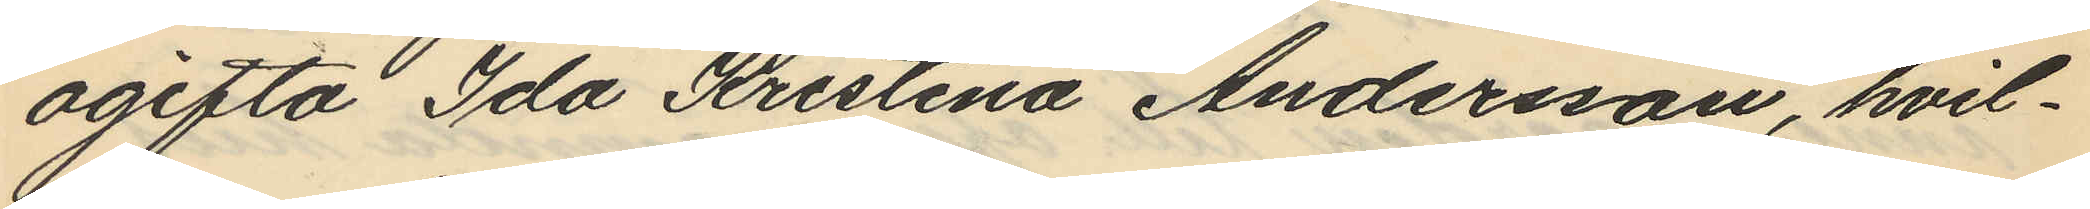ogifta Ida Kristina Andersson, hvil¬
